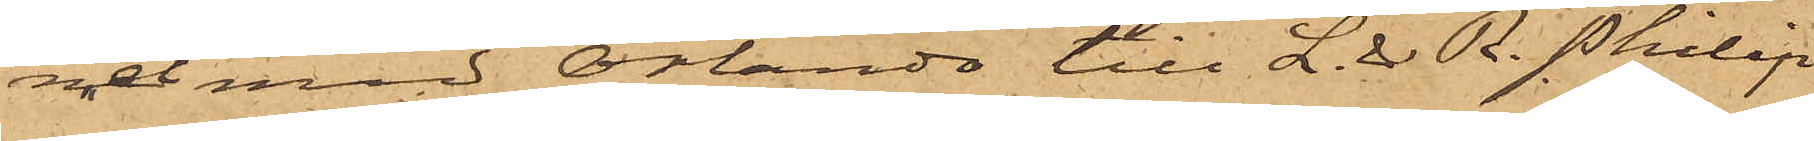net med Orlando till L. & R. Philip
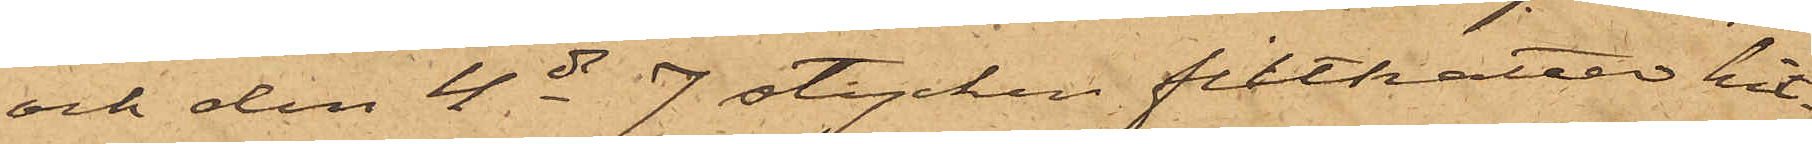och den 4 ds 7 stycken filthattar hit¬
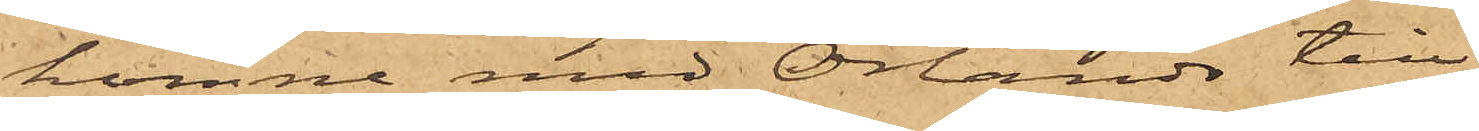komne med Orlando till
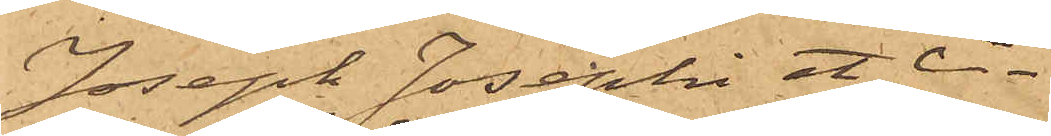Joseph Josephi et Ci.
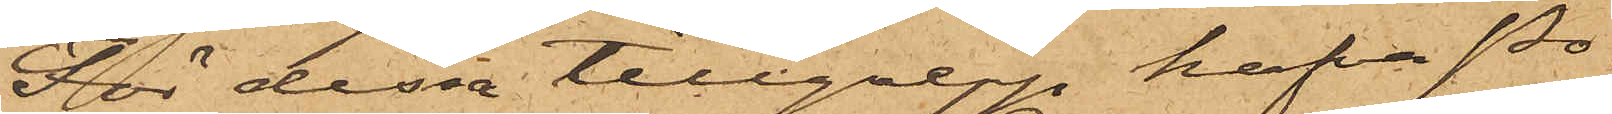För dessa tillgrepp hafva Po¬
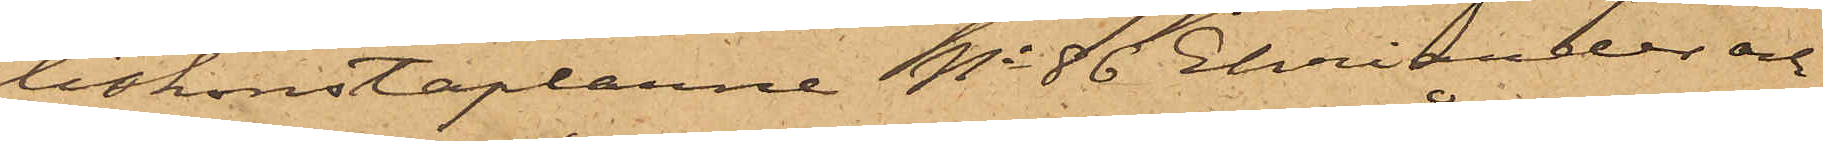liskonstaplarne No 86 Ehriander och
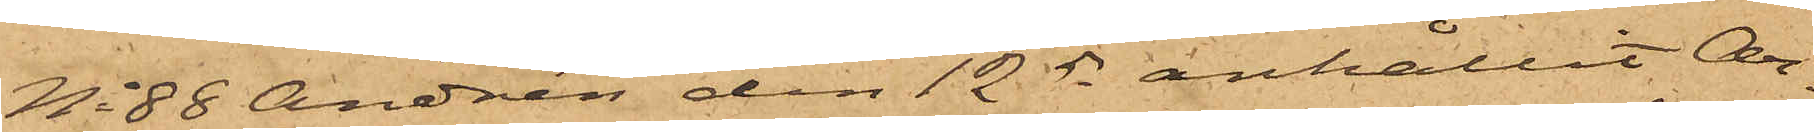No 88 Andrén den 12 ds anhållit Ar¬
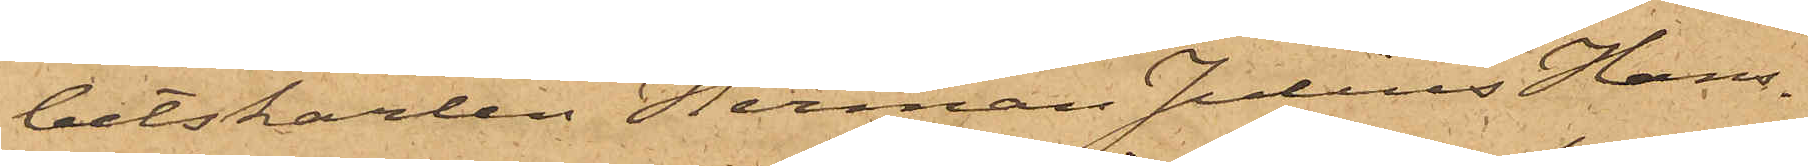betskarlen Herman Julius Hans¬
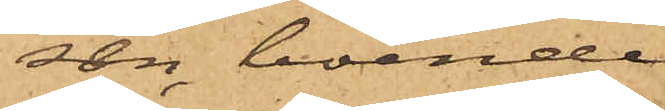son, boende
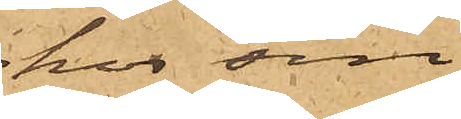hos sin
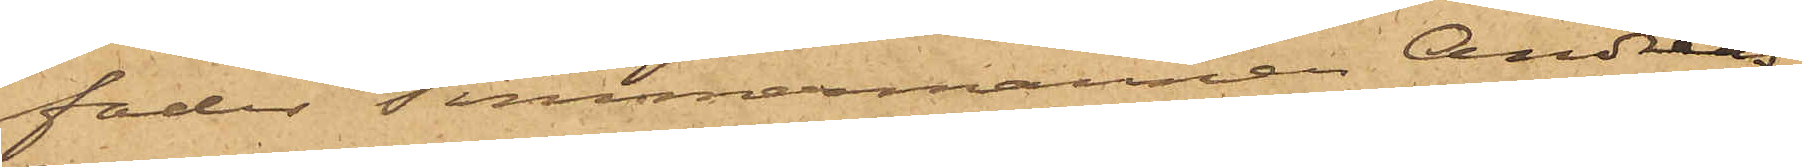fader timmermannen Andreas
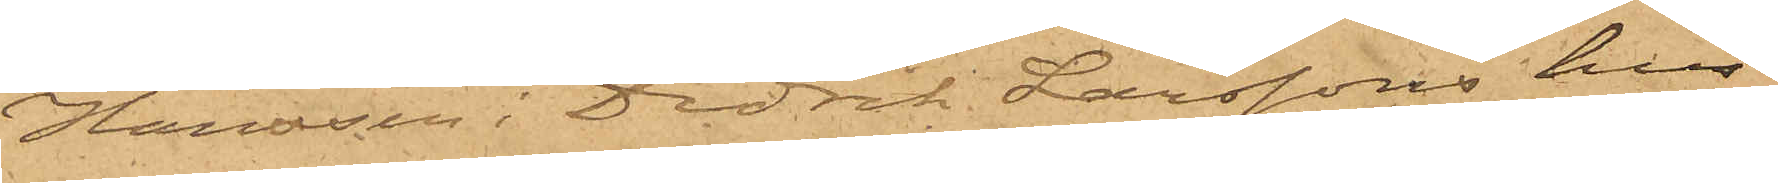Hansson i Didrik Larssons hus
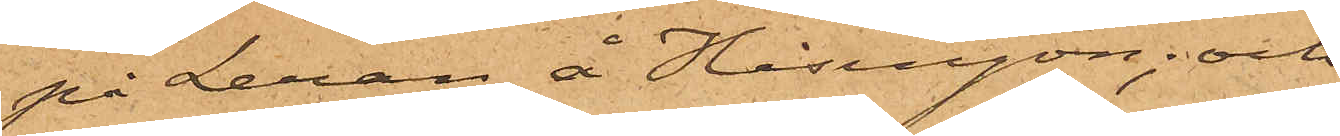på Leran å Hisingön; och
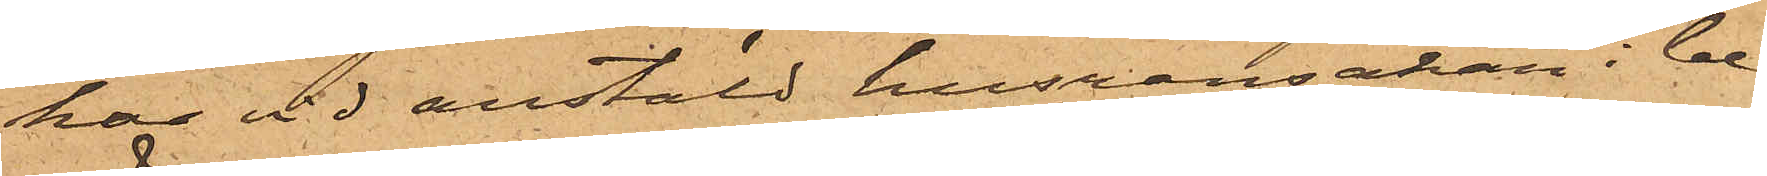har vid anstäld husransakan i be¬
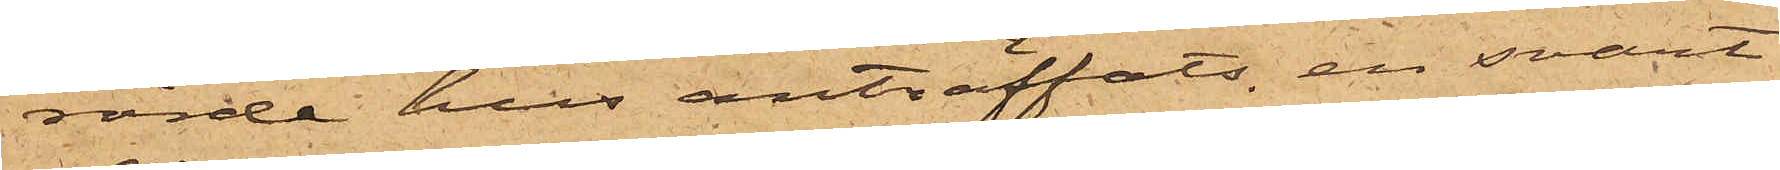rörde hus anträffats en svart
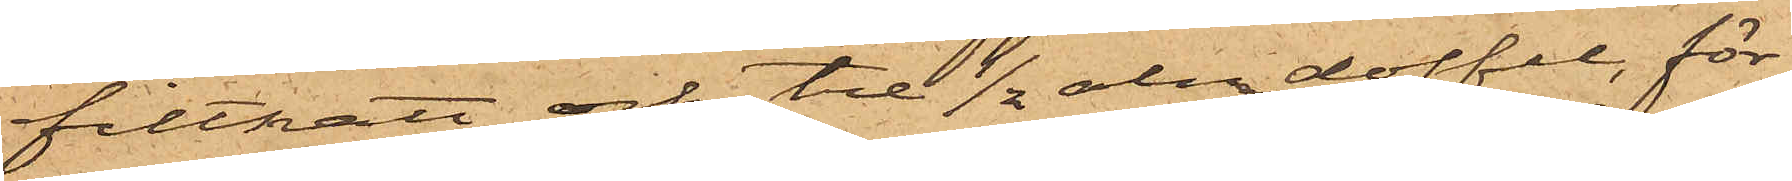filthatt och tre 1/2 alnar doffel, för¬
